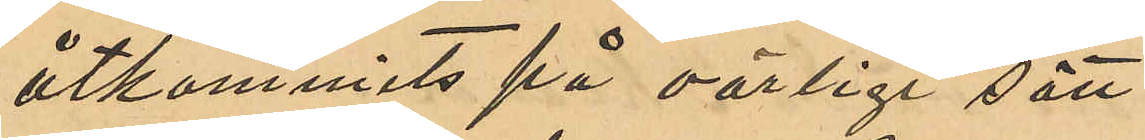åtkommits på oärligt sätt.
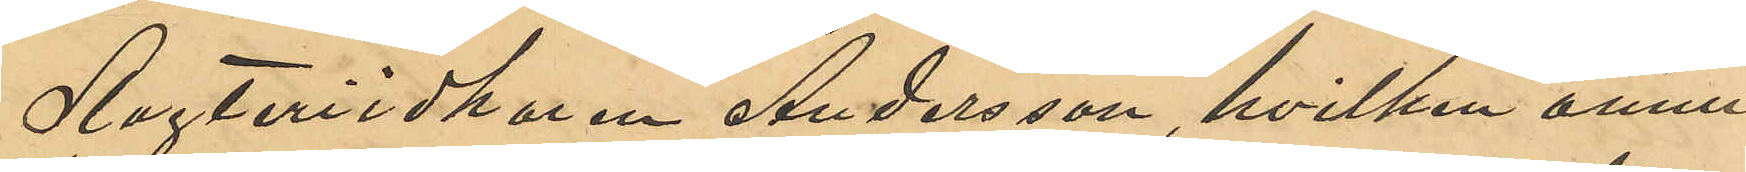Slagteriidkaren Andersson, hvilken ännu
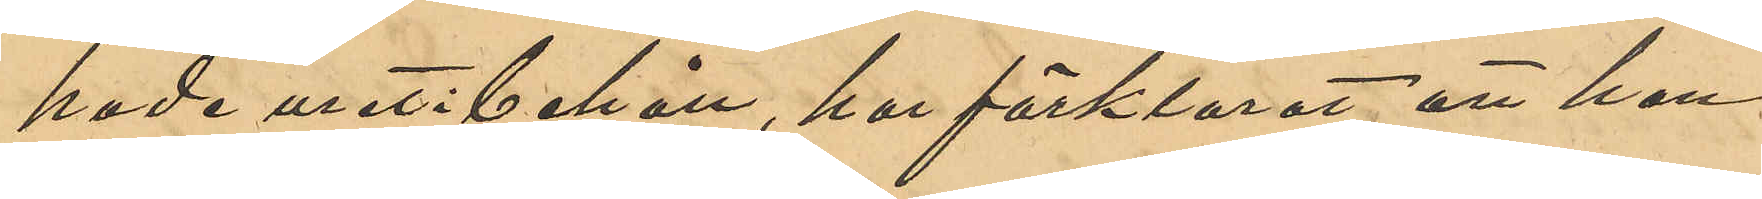hade uret i behåll, har förklarat att han
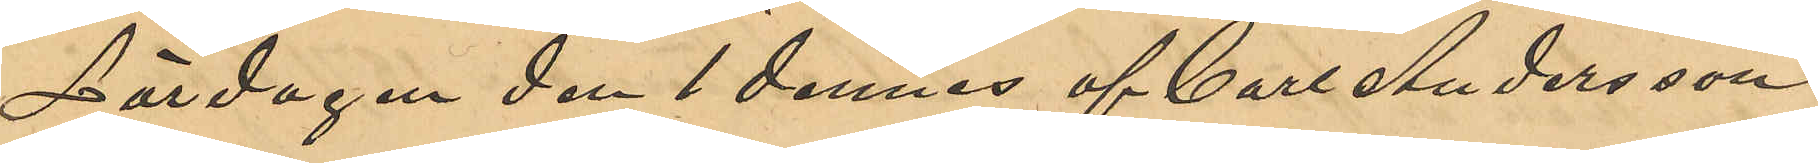Lördagen den 1 dennes af Carl Andersson
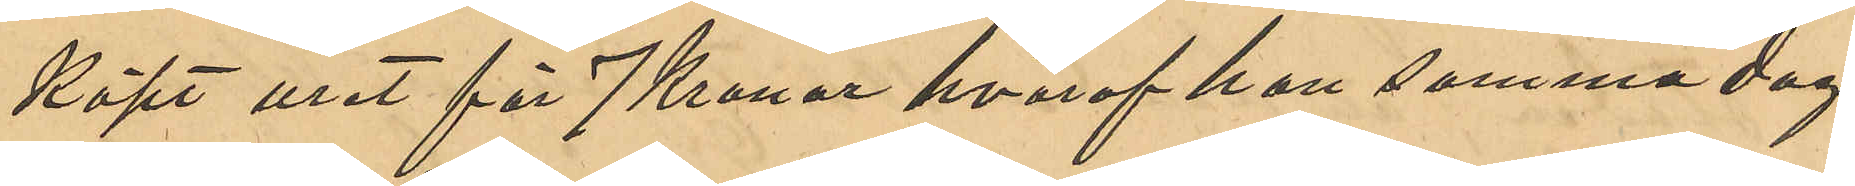köpt uret för 7 Kronor hvaraf han samma dag
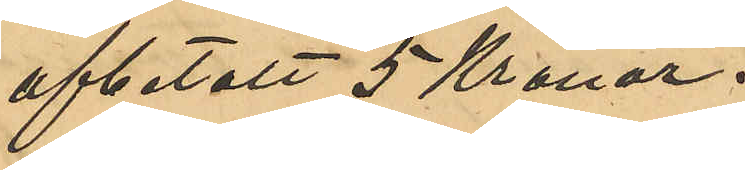afbetalat 5 Kronor.
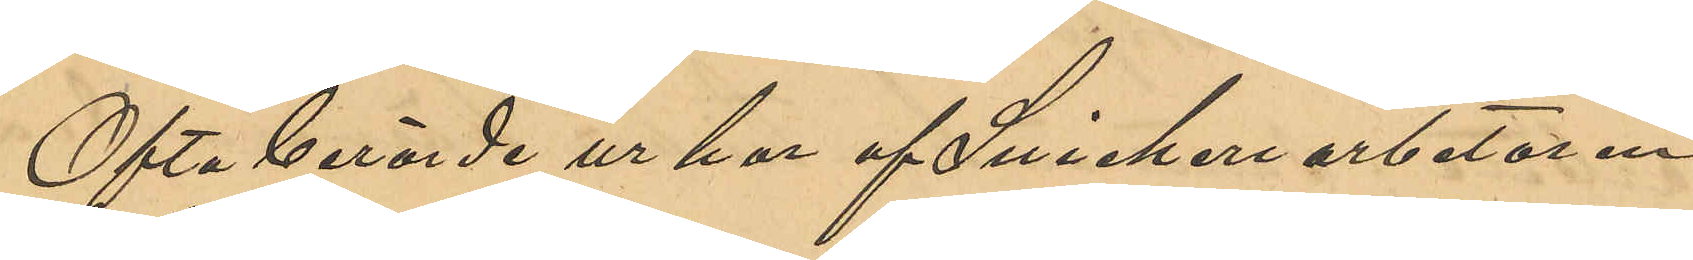Ofta berörde ur har af Snickeriarbetaren
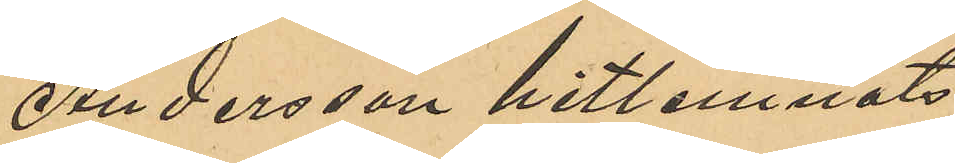Andersson hitlemnats.
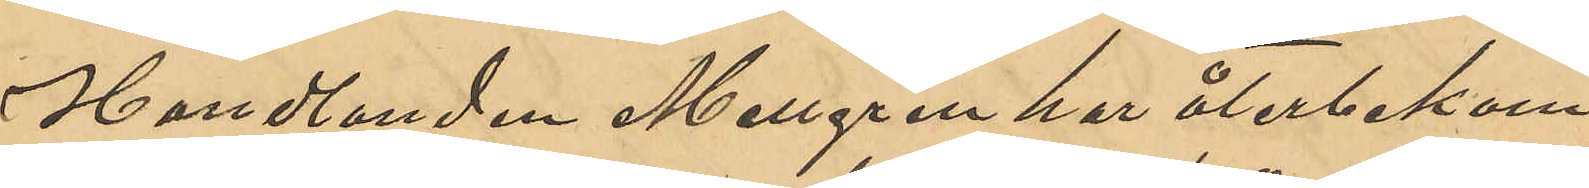Handlanden Mellgren har återbekom¬
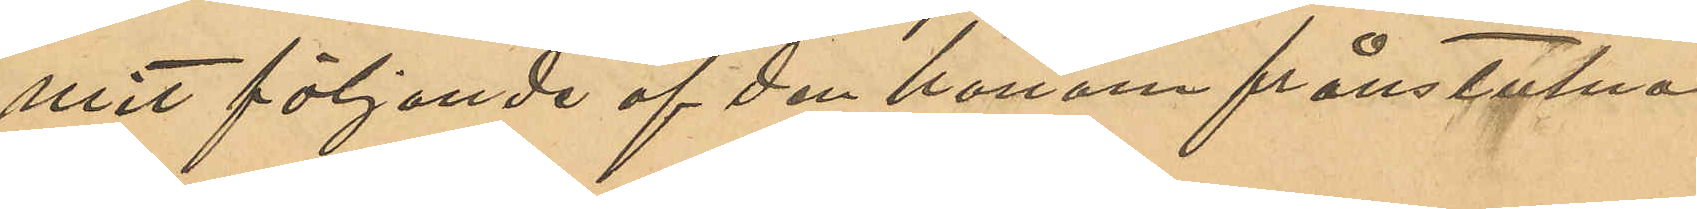mit följande af den honom frånstulna
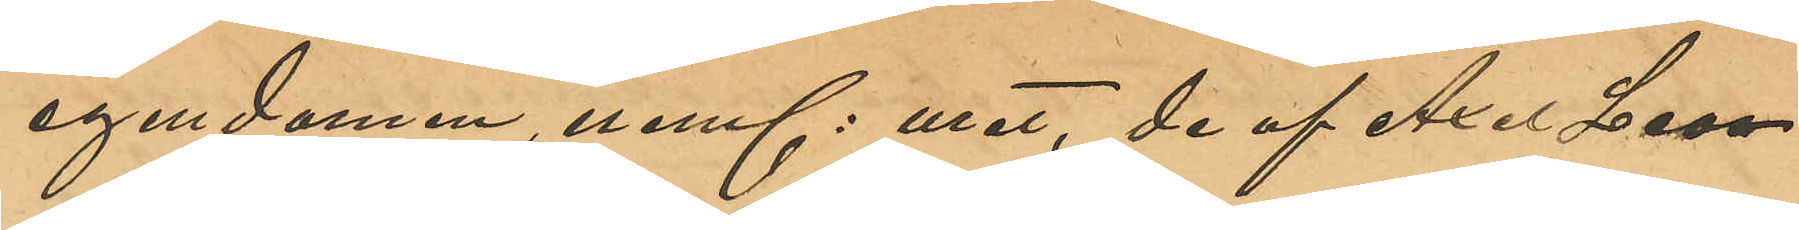egendomen neml: uret, de af Axel Leo¬
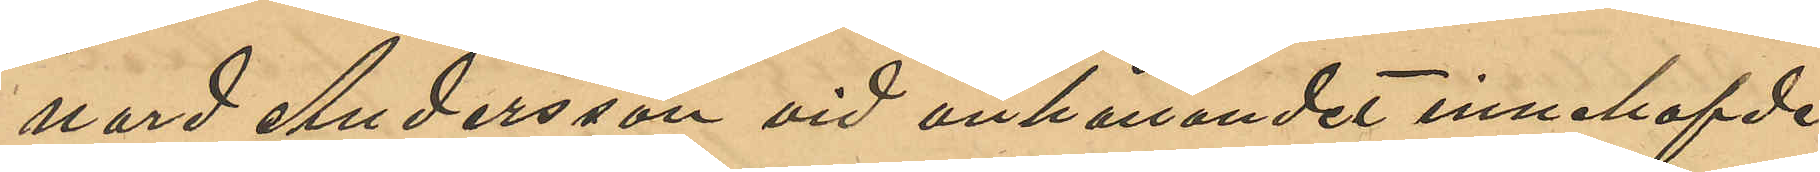nard Andersson vid anhållandet innehafde
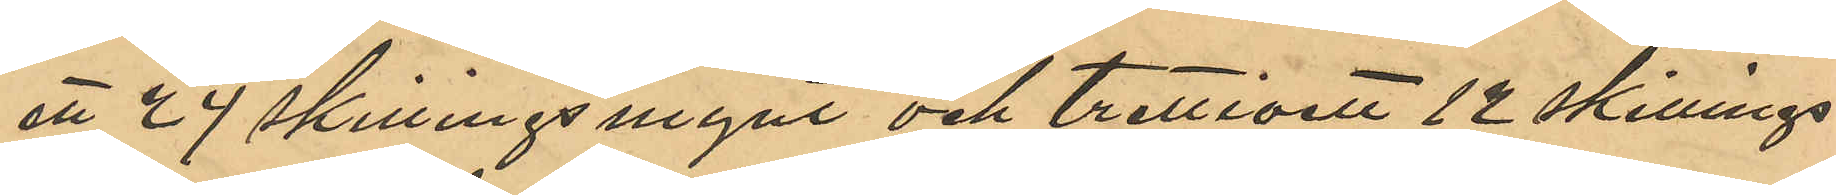ett 24 skillingsmynt och trettioen 12 skillings¬
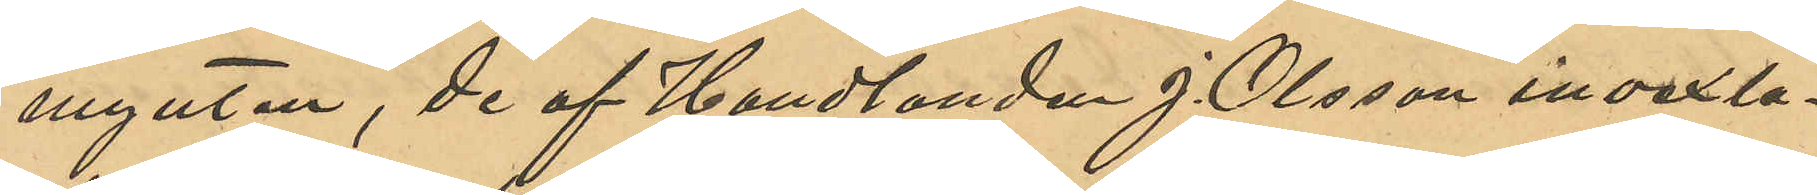mynten, de af Handlanden J. Olsson invexla¬
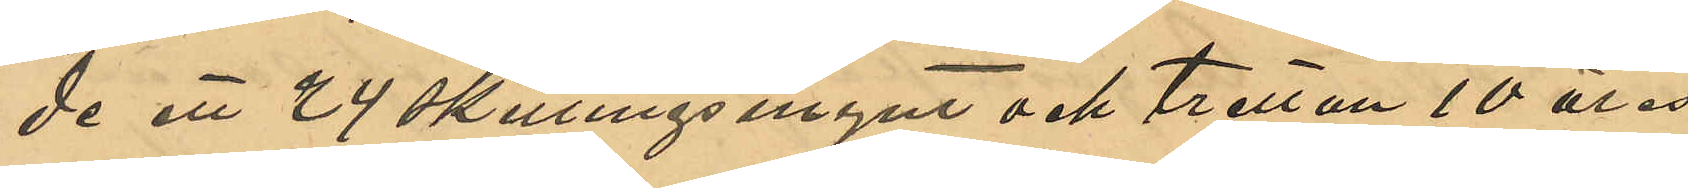de ett 24 skillingsmynt och tretton 10 öres
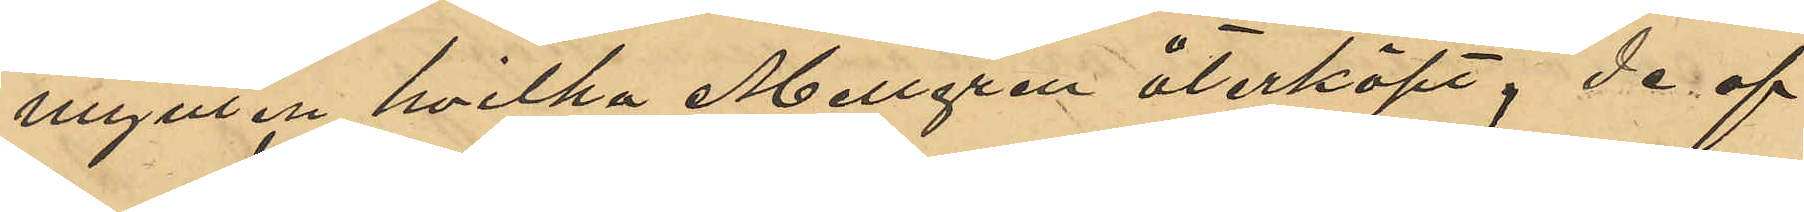mynten hvilka Mellgren återköpt, de af
